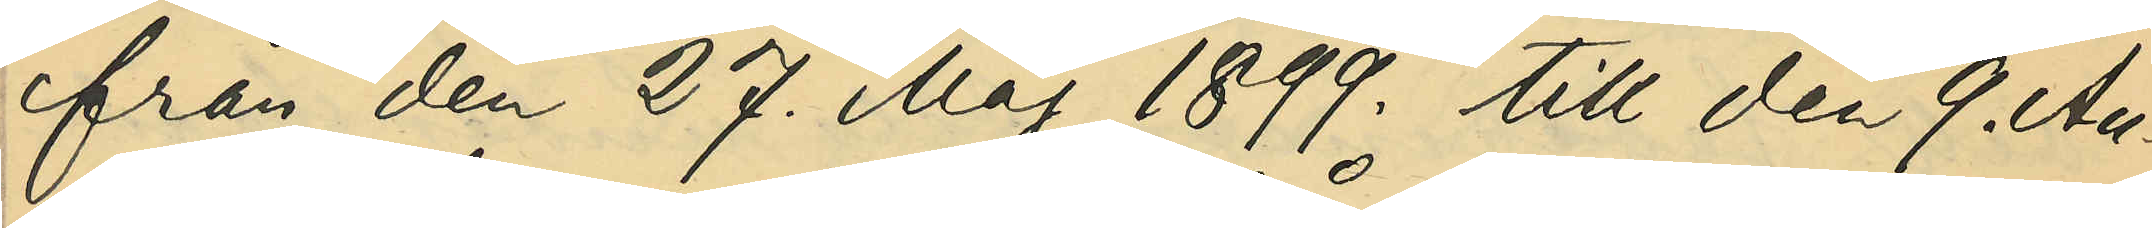från den 27. Maj 1899. till den 9. Au¬
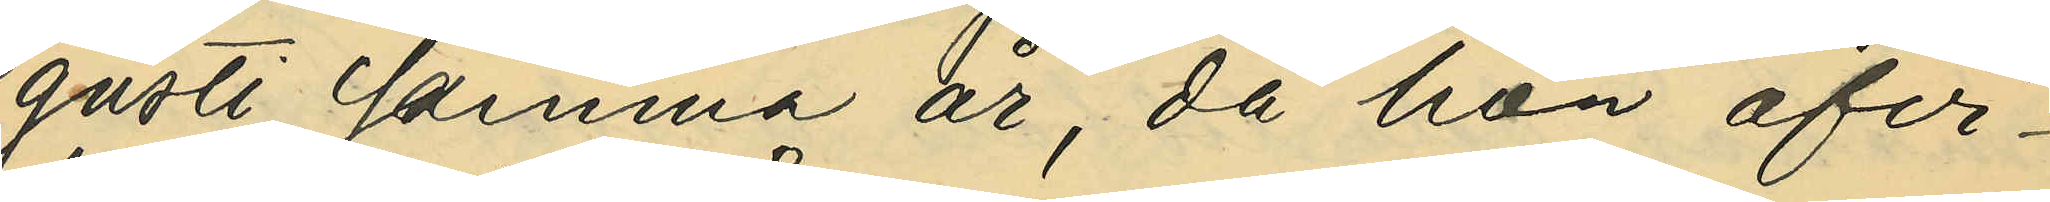gusti samma år, då hon afvi¬
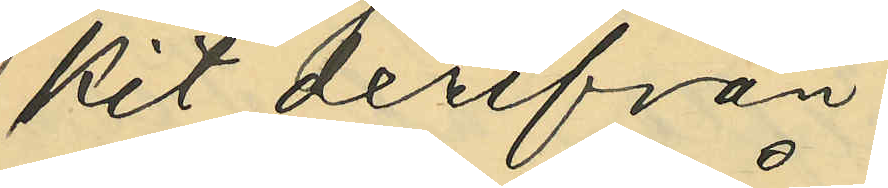kit derifrån.
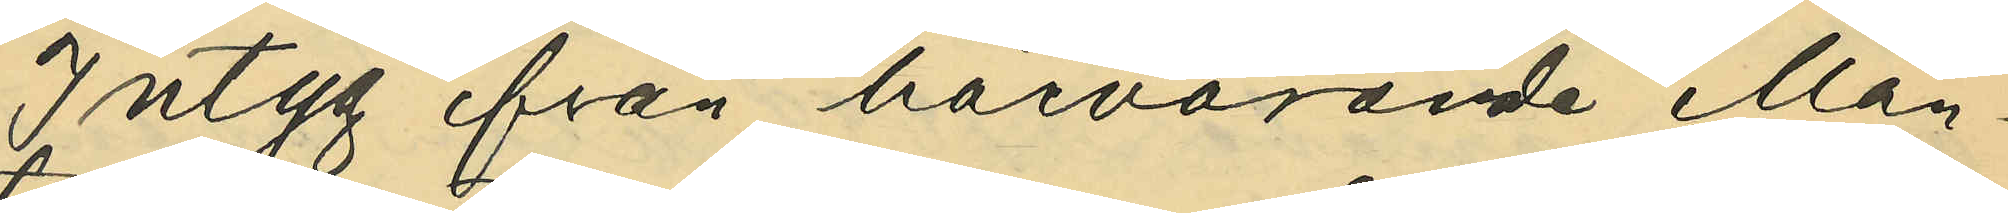Intyg från härvarande Man¬
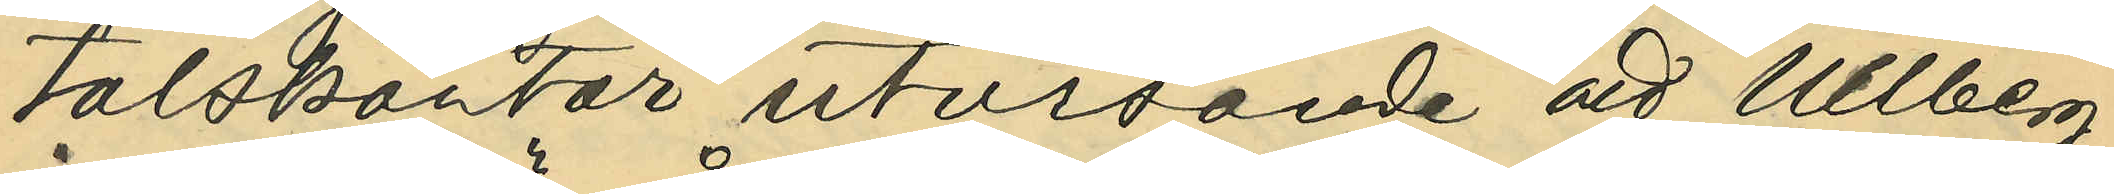talskontor utvisande att Ullberg
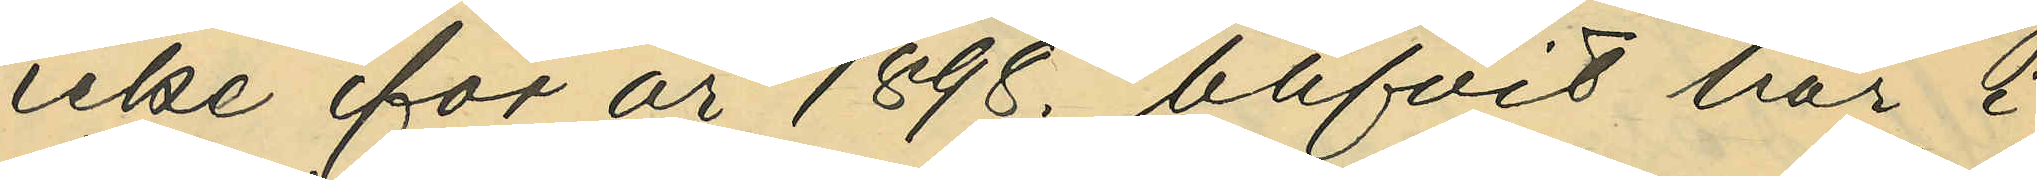icke för 1898. blifvit här i
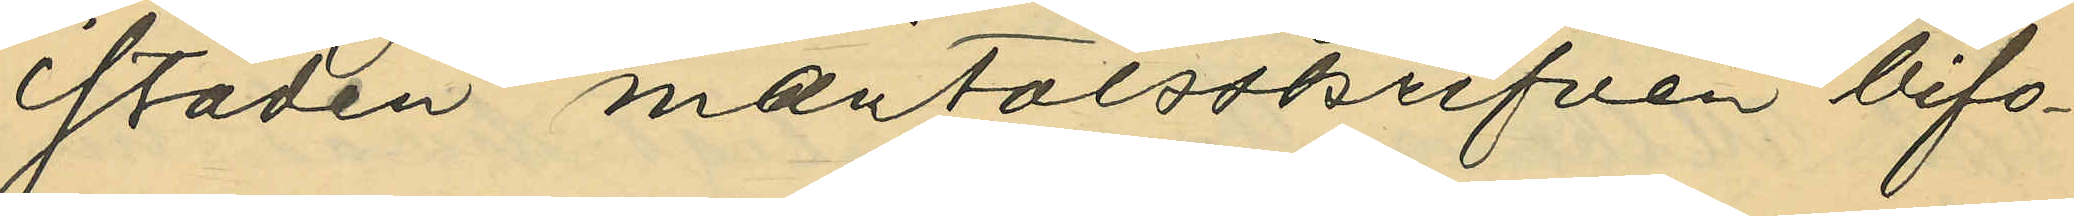staden mantalsskrifven bifo¬
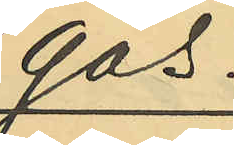gas.
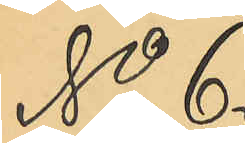No 6.
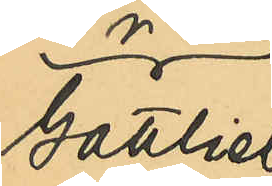Gottlieb
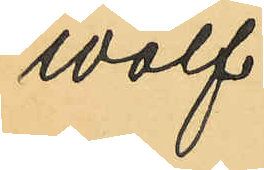Wolf.
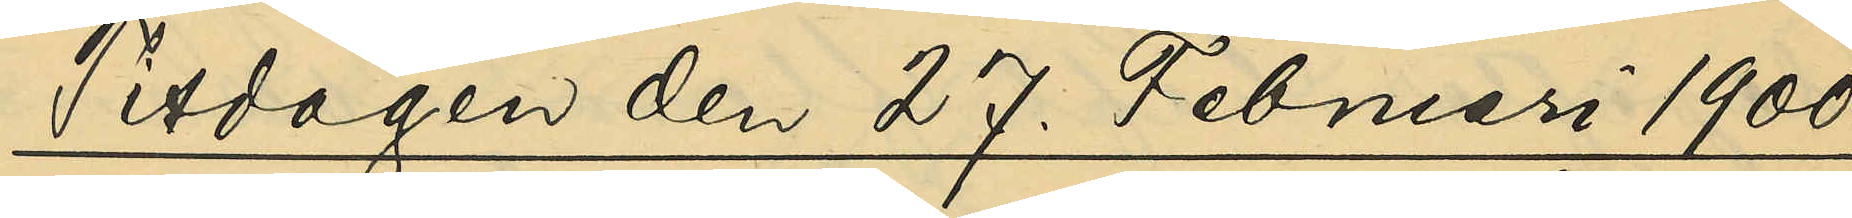Tisdagen den 27. Februari 1900.
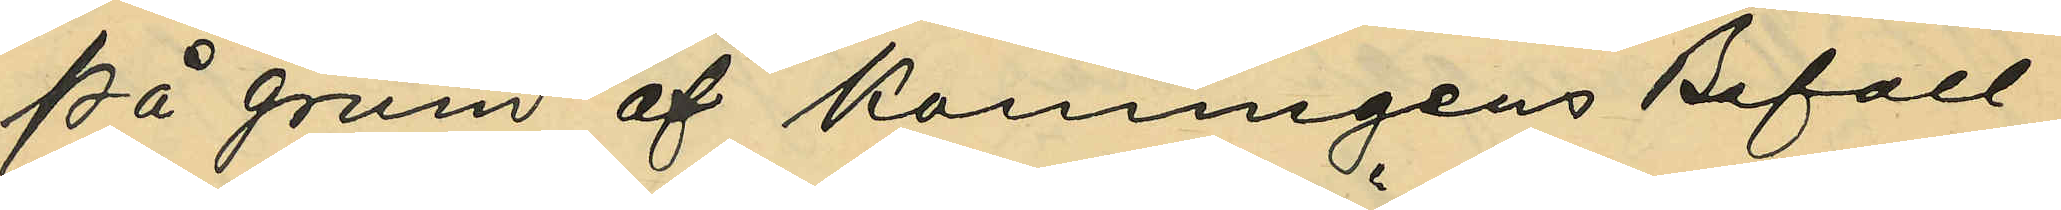På grund af Konungens Befall¬
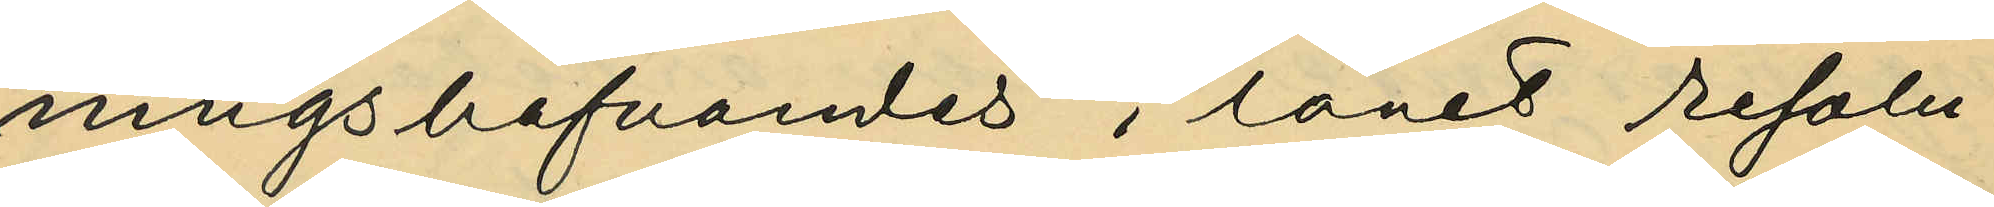ningshafvandes i länet resolu¬
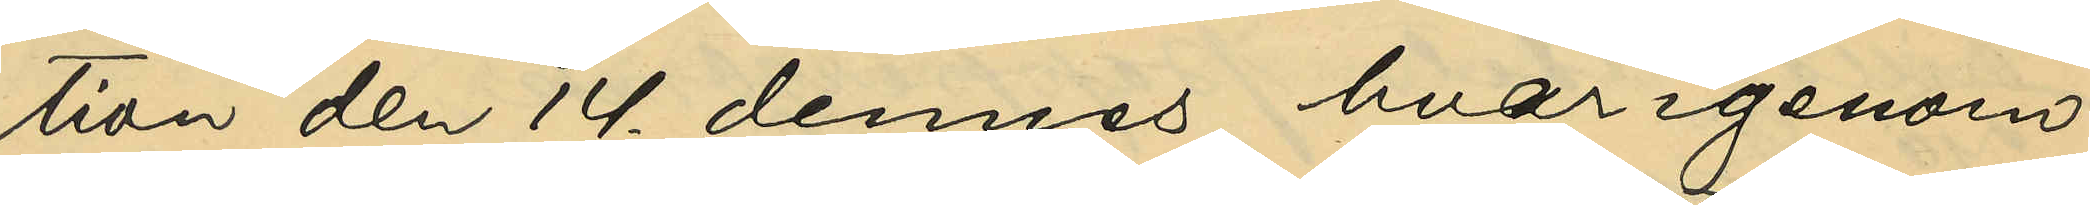tion den 14. dennes, hvarigenom
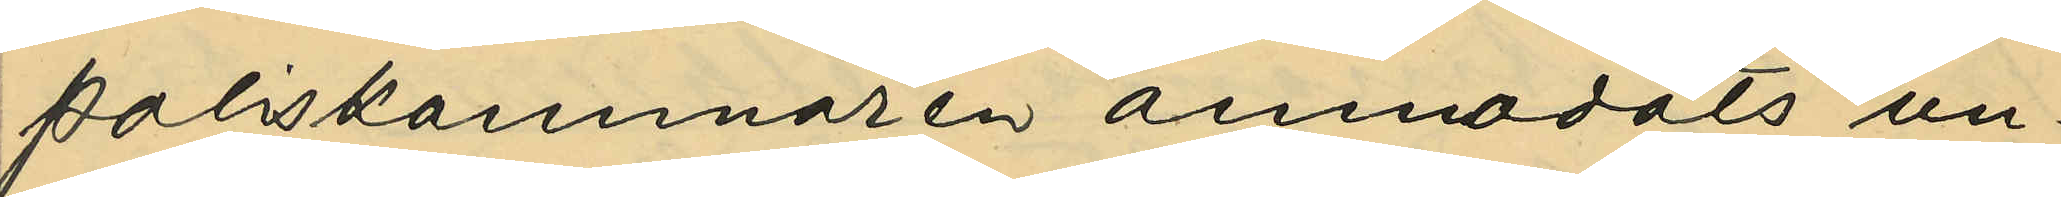Poliskammaren anmodats un¬
